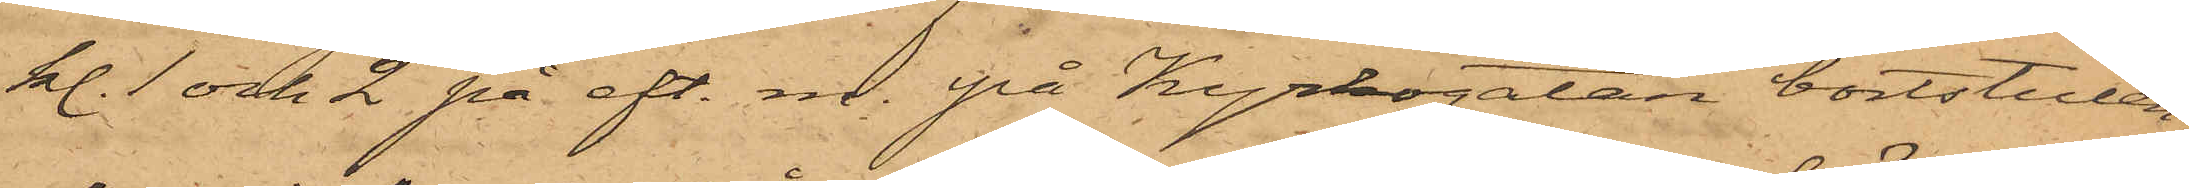kl. 1 och 2 på eft. m. på Kyrkogatan bortstulen,
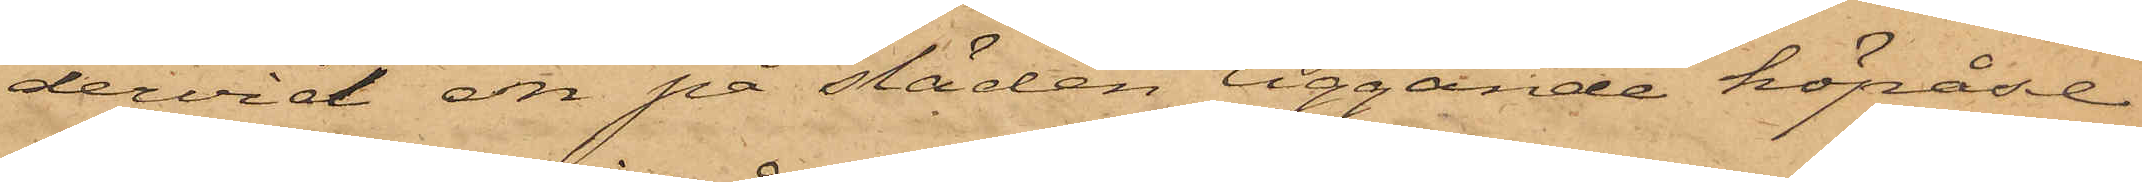dervid en på släden liggande höpåse
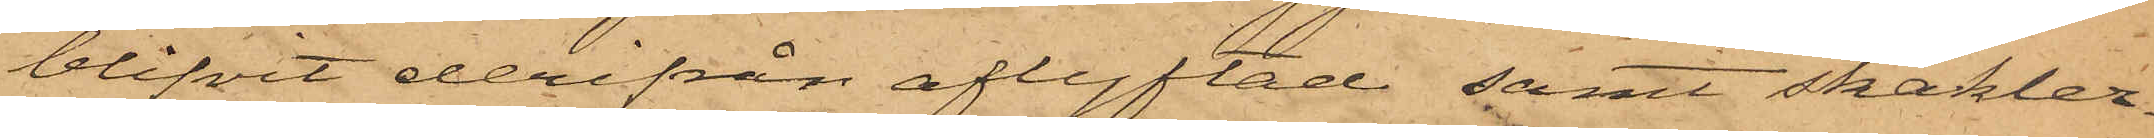blifvit derifrån aflyftad samt skakler¬
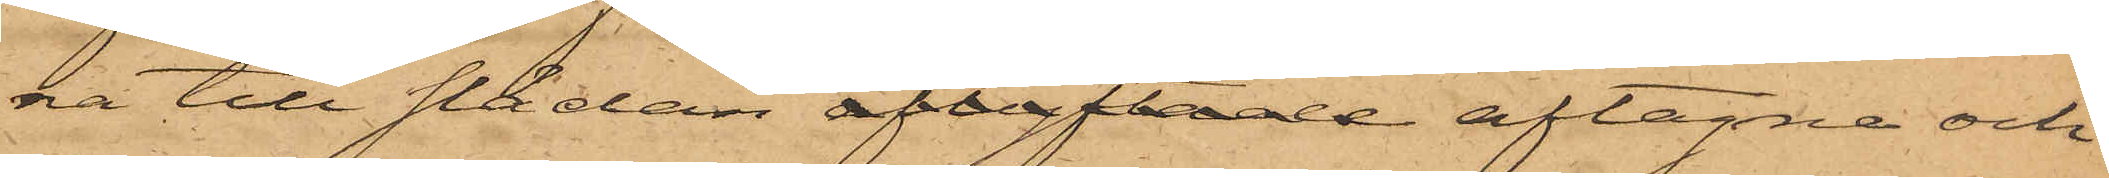na till släden aflyftade aftagna och
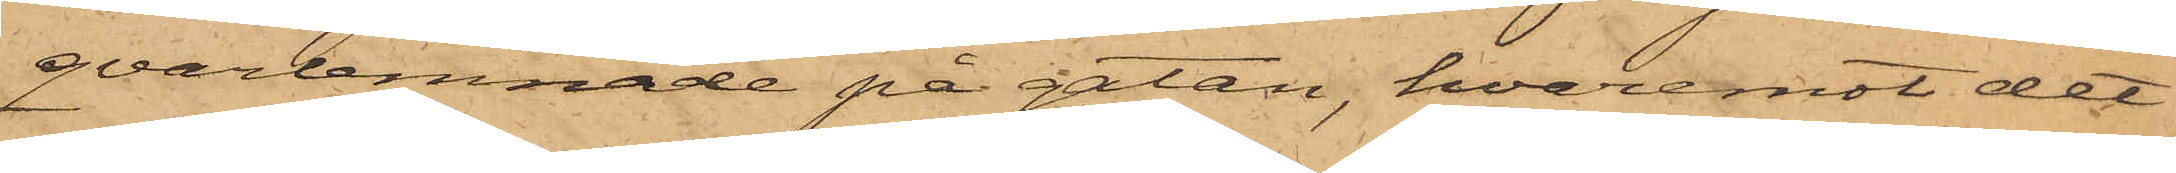qvarlemnade på gatan, hvaremot det
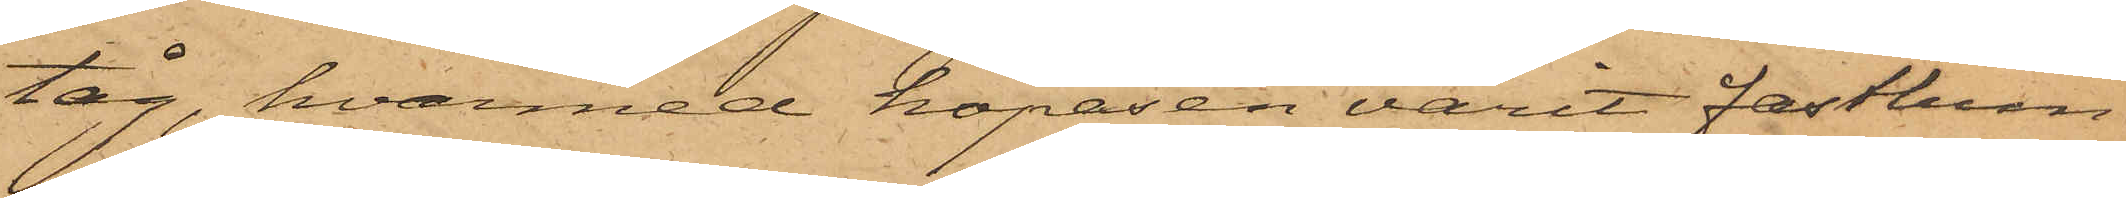tåg, hvarmed höpåsen varit fastbun¬
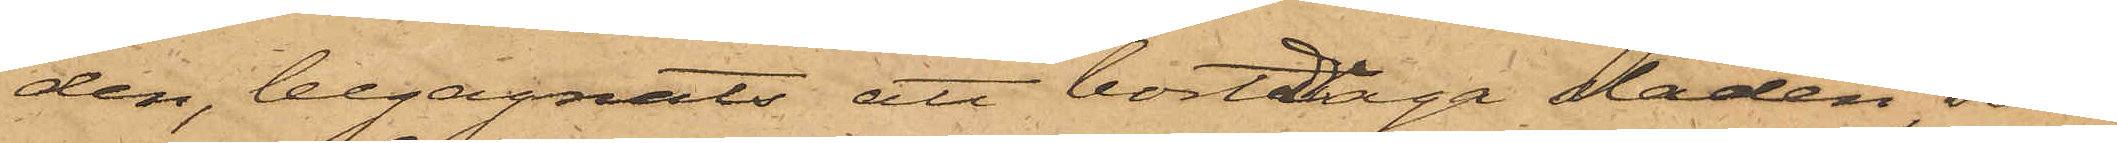den, begagnats att bortdraga släden, som
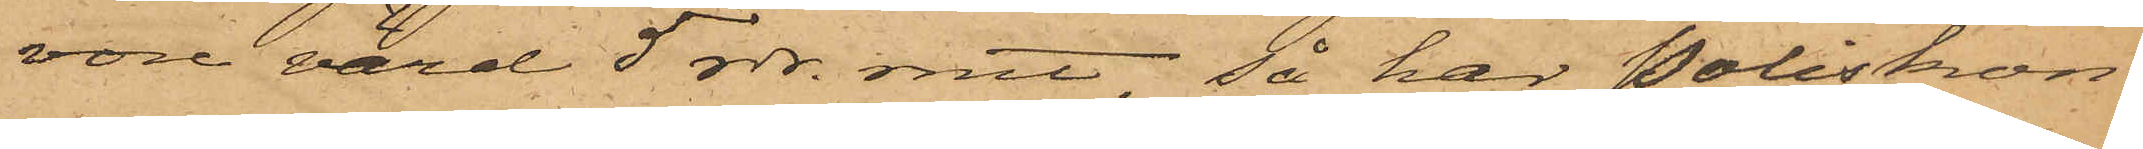vore värd 5 rdr. rmt, så har Poliskon¬
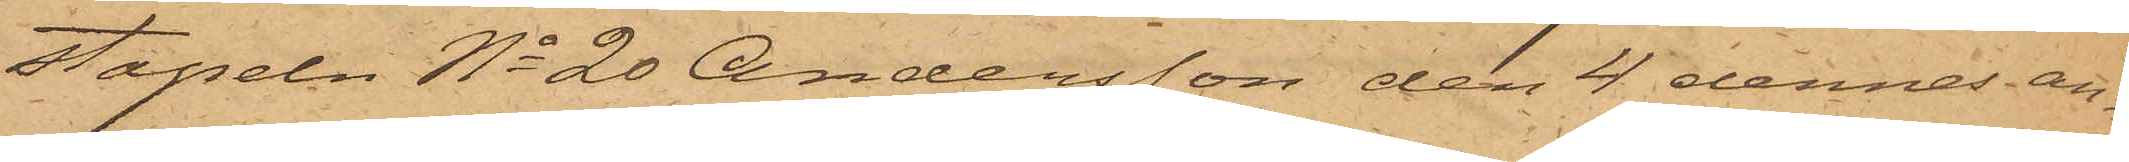stapeln No 20 Andersson den 4 dennes an¬
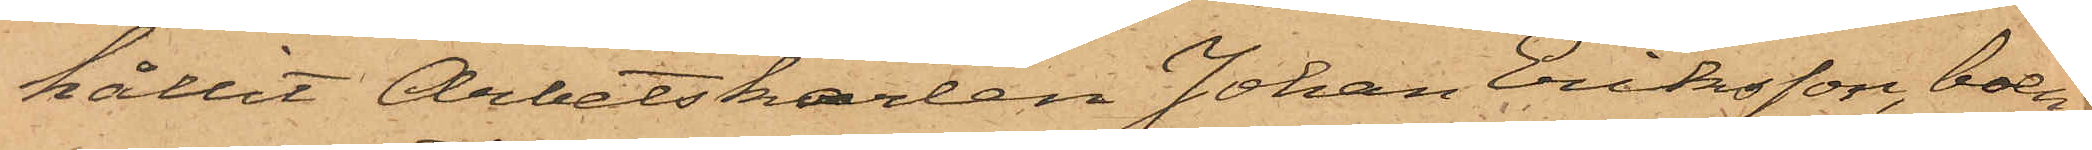hållit Arbetskarlen Johan Eriksson, boen¬
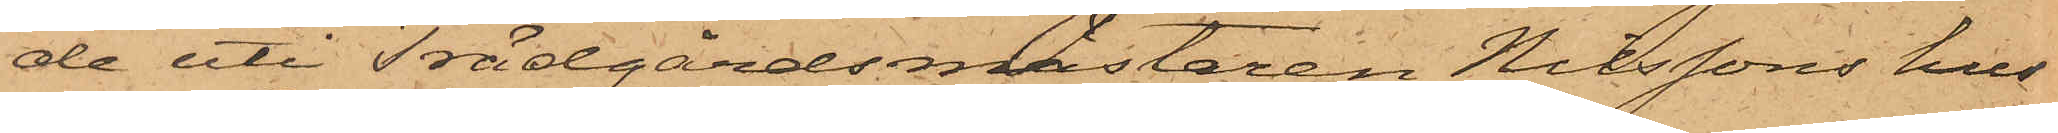de uti Trädgårdsmästaren Nilssons hus
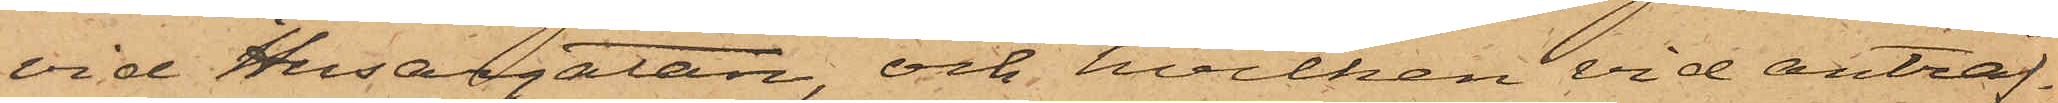vid Husargatan, och hvilken vid anträf¬
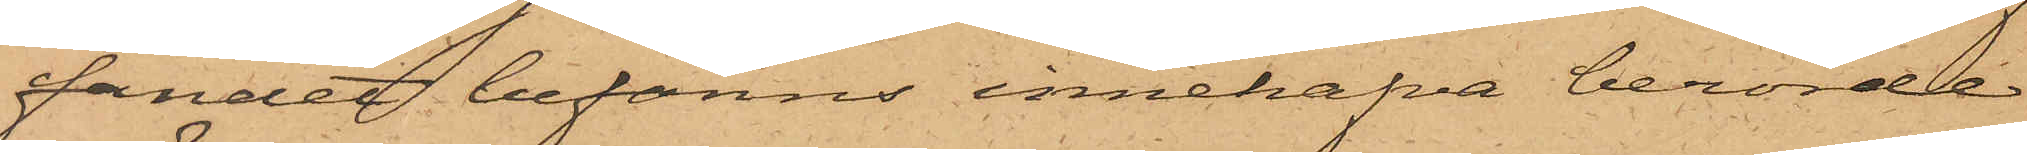fandet befanns innehafva berörde
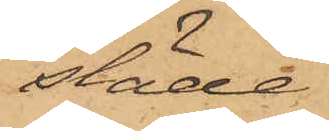släde.
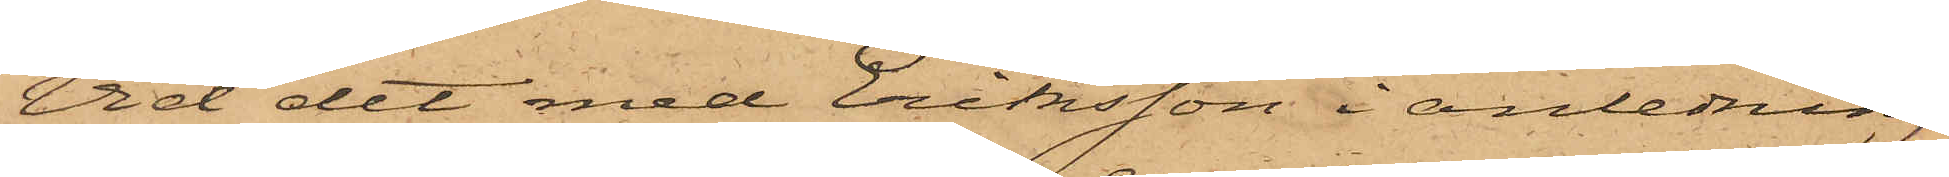Vid det med Eriksson i anledning
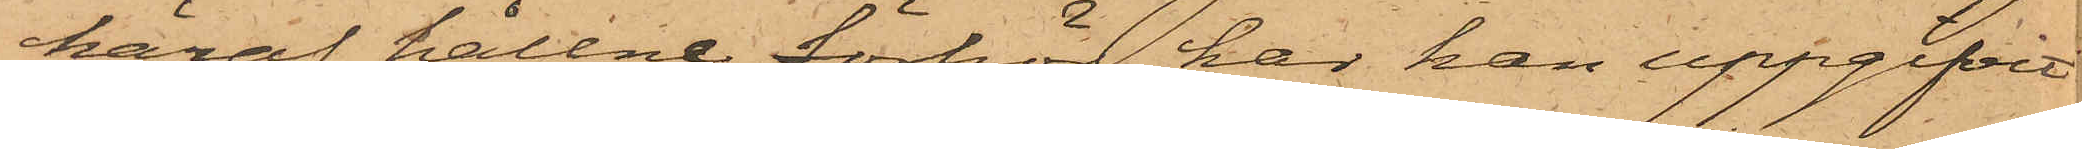häraf hållne förhör har han uppgifvit
